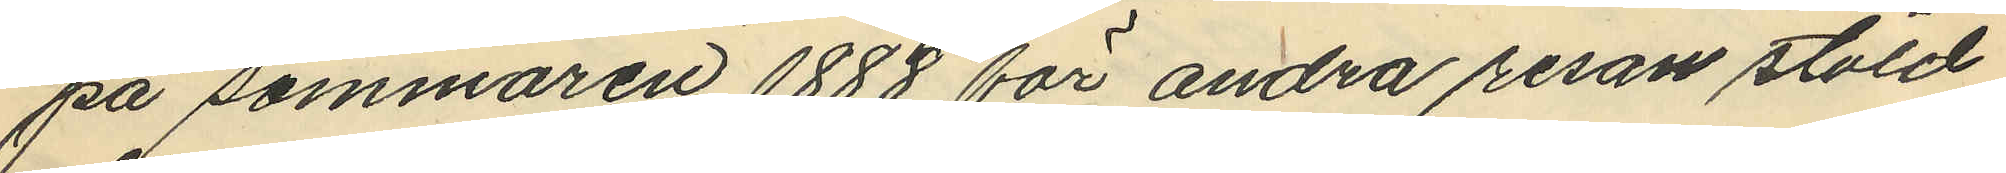på sommaren 1888 för andra resan stöld
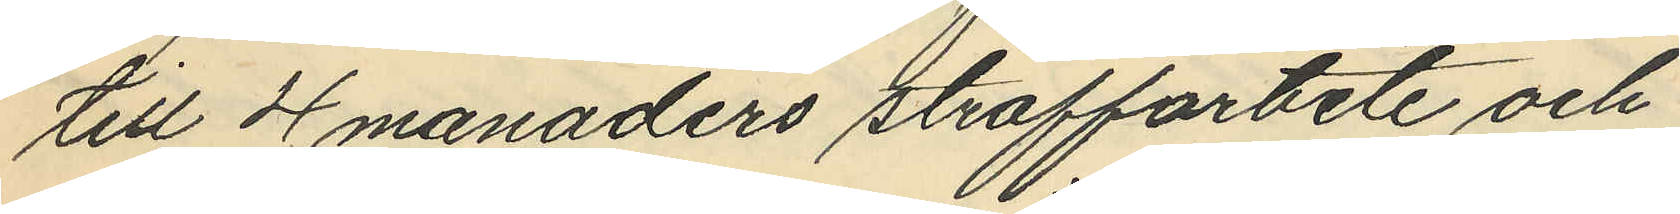till 4 manaders straffarbete och
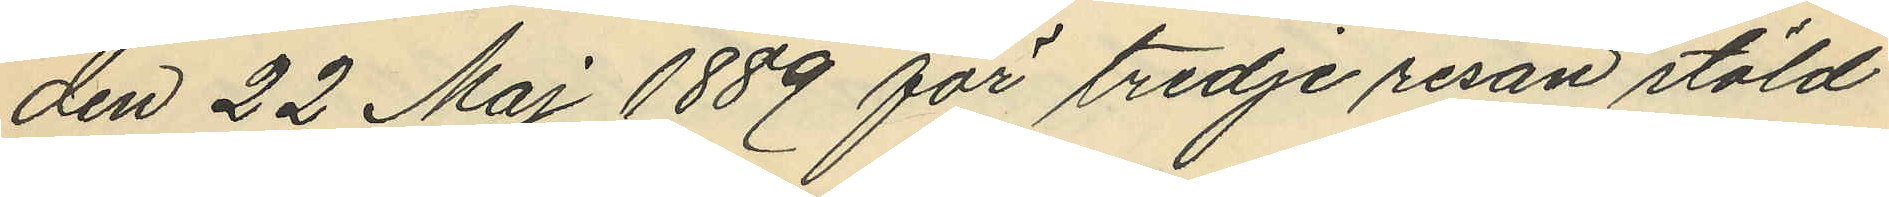den 22 Maj 1889 för tredje resan stöld
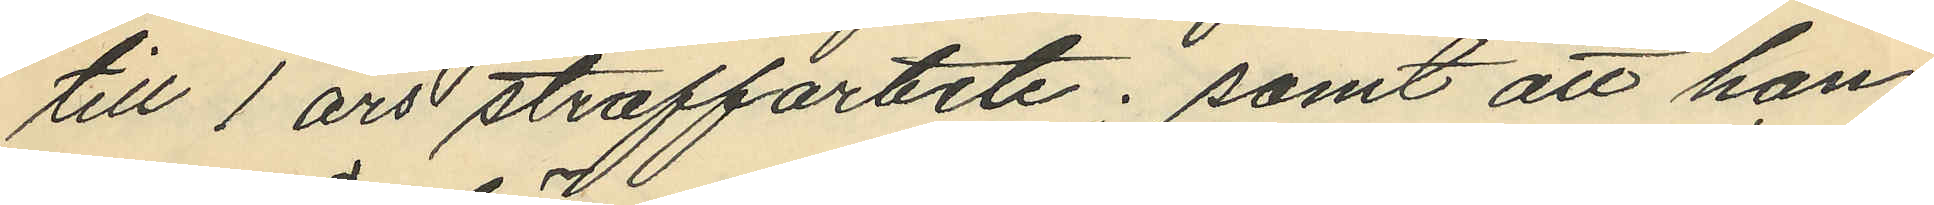till 1 års straffarbete; samt att han
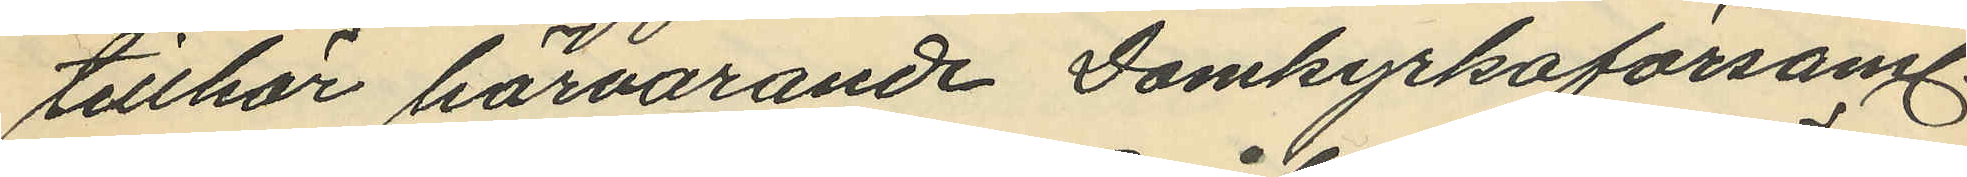tillhör härvarande Domkyrkoförsaml.
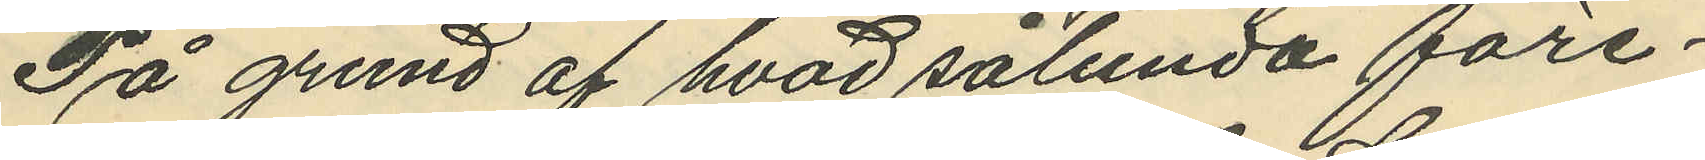På grund af hvad sålunda före¬
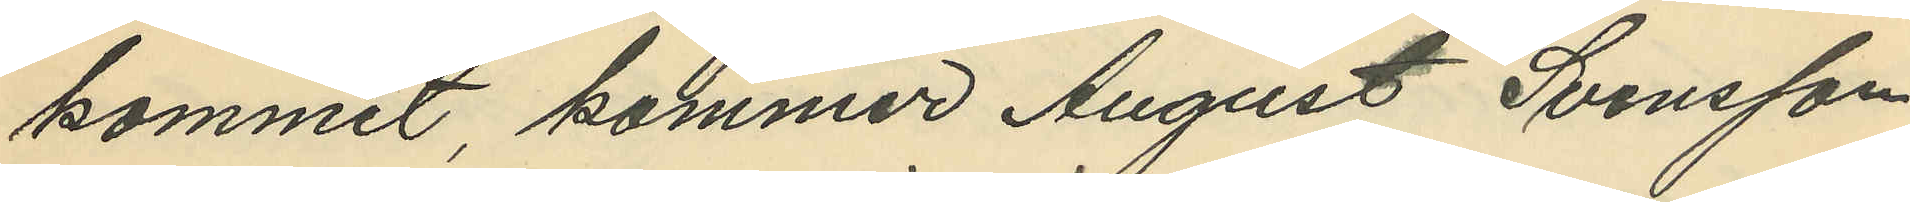kommit, kommer August Svensson
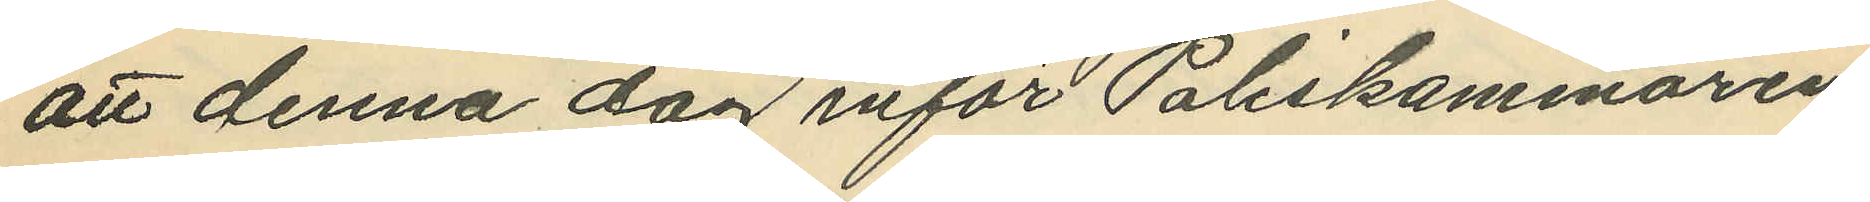att denna dag inför Poliskammaren
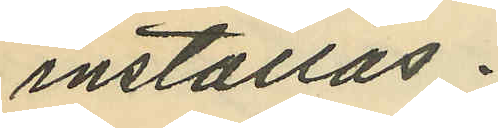inställas.
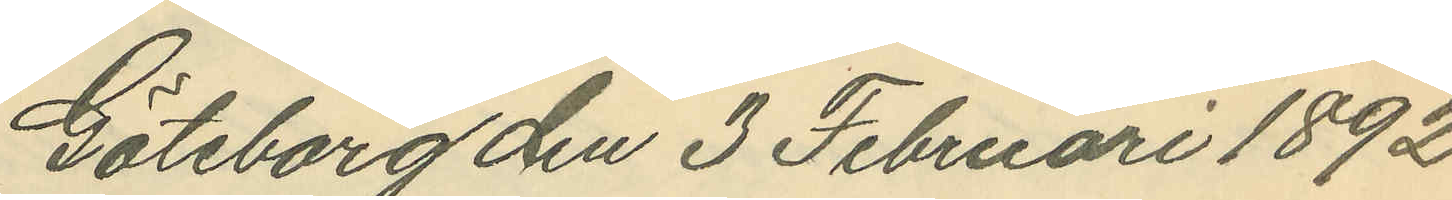Göteborg den 3 Februari 1892.
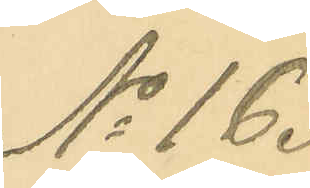No 16.
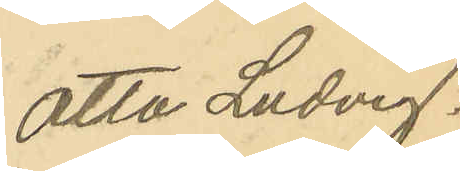Otto Ludvig.
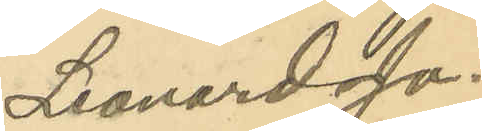Leonard Jo¬
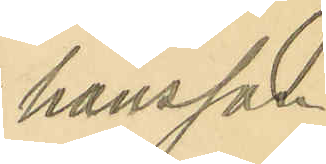hansson.
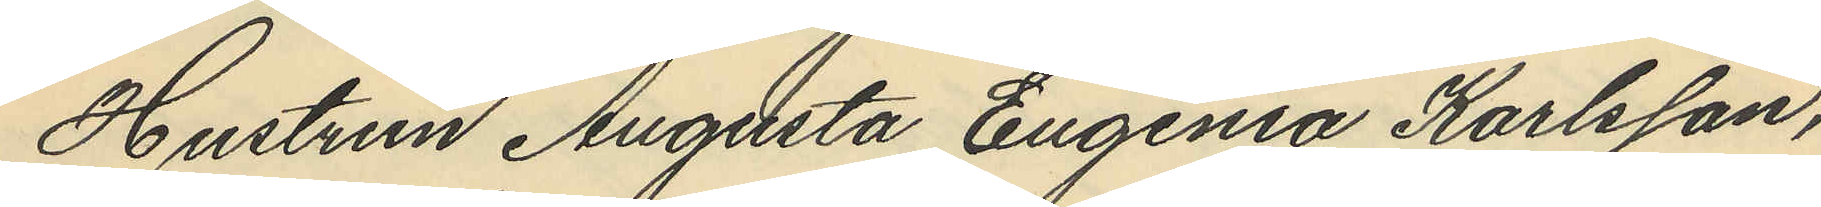Hustrun Augusta Eugenia Karlsson,
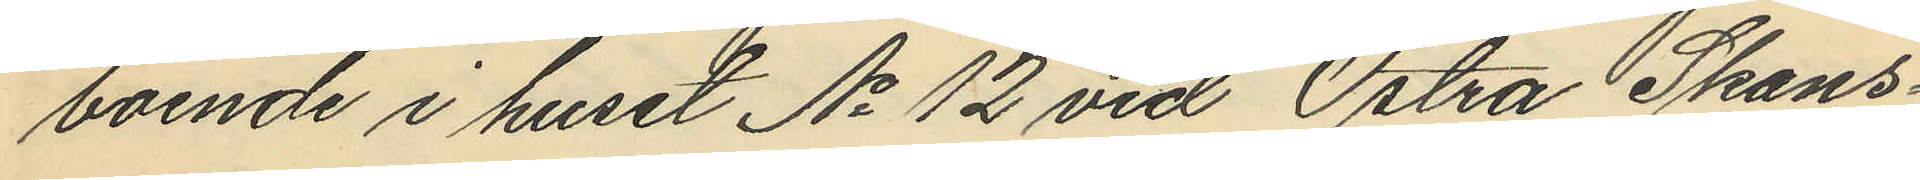boende i huset No 12 vid Östra Skans¬
